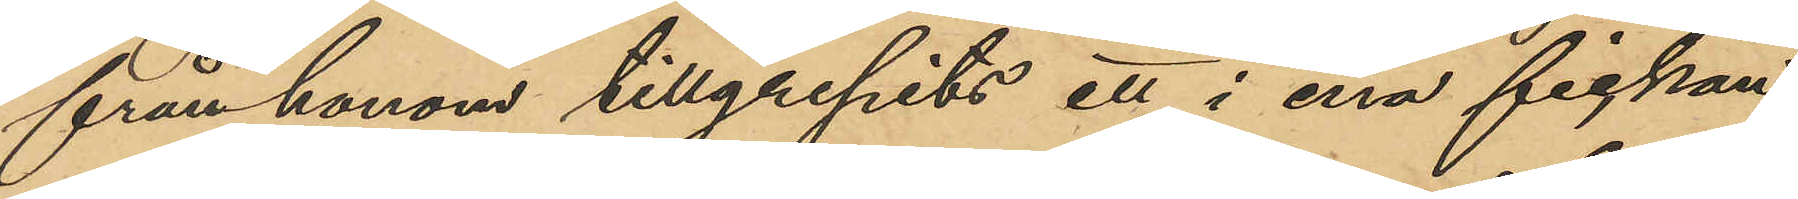från honom tillgripits ett i ena fickan
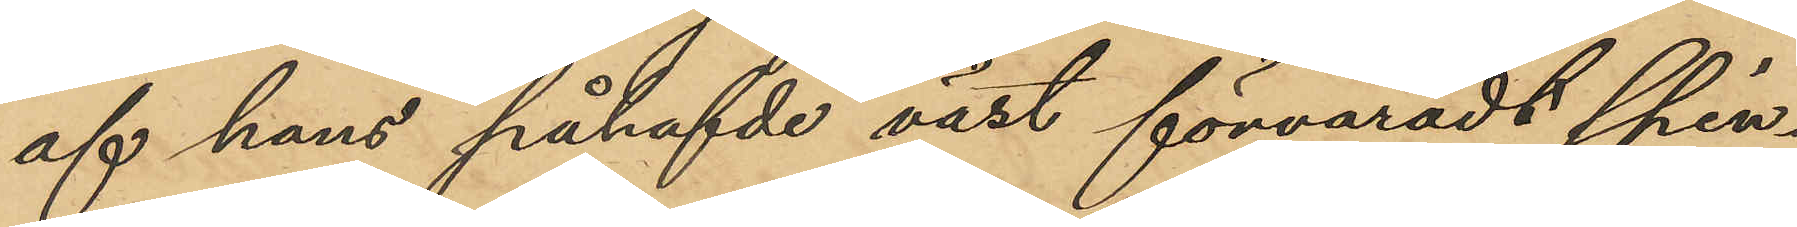af hans påhafvde väst förvaradt spin¬
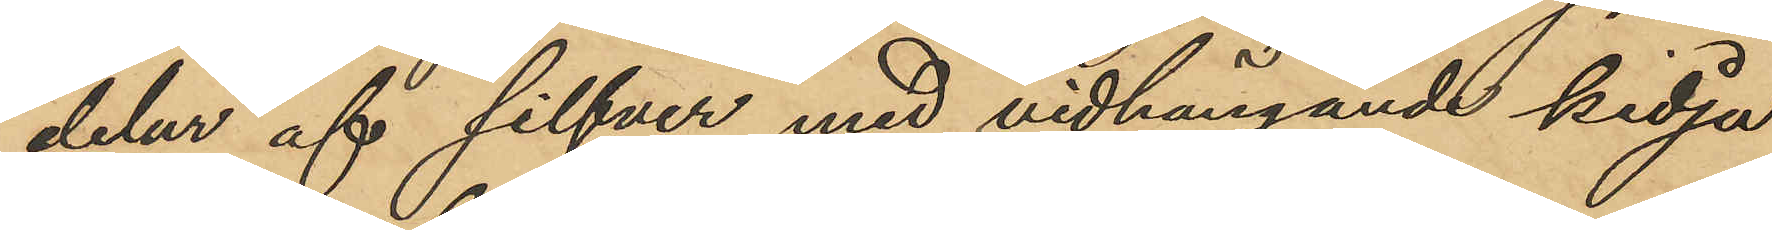delur af silfver med vidhängande kedja
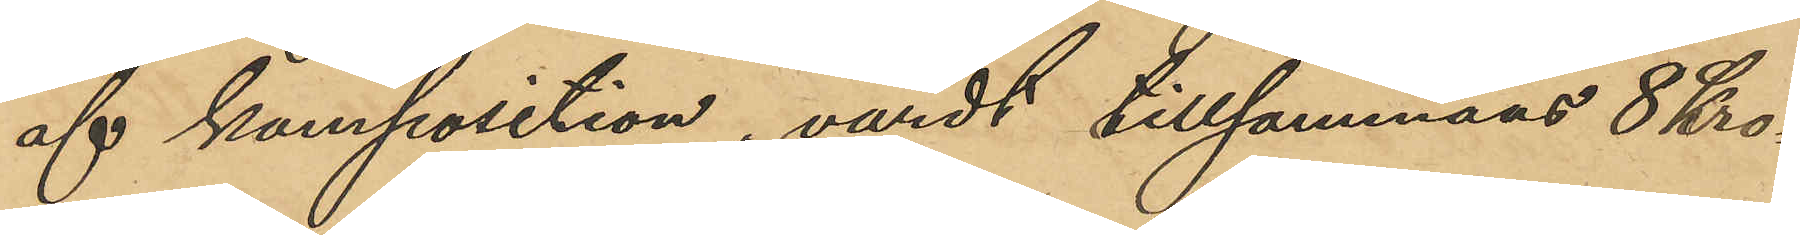af komposition, värdt tillsammans 8 Kro¬
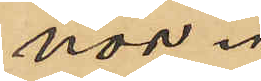nor.
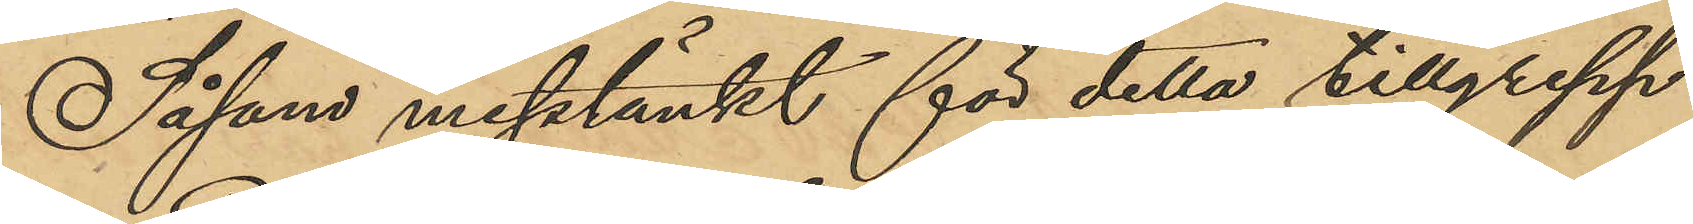Såsom misstänkt för detta tillgrepp
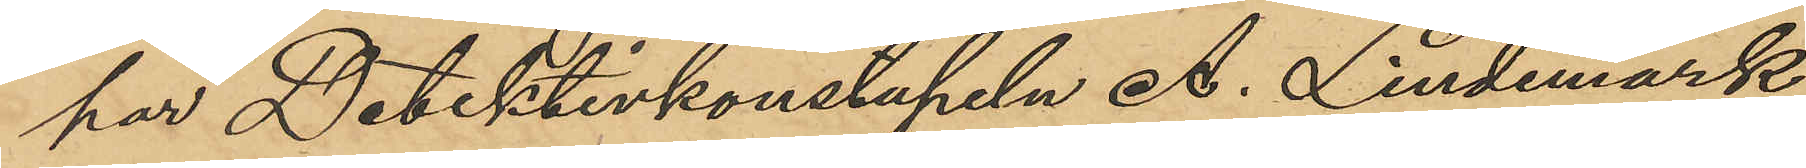har Detektivkonstapeln A. Lindemark
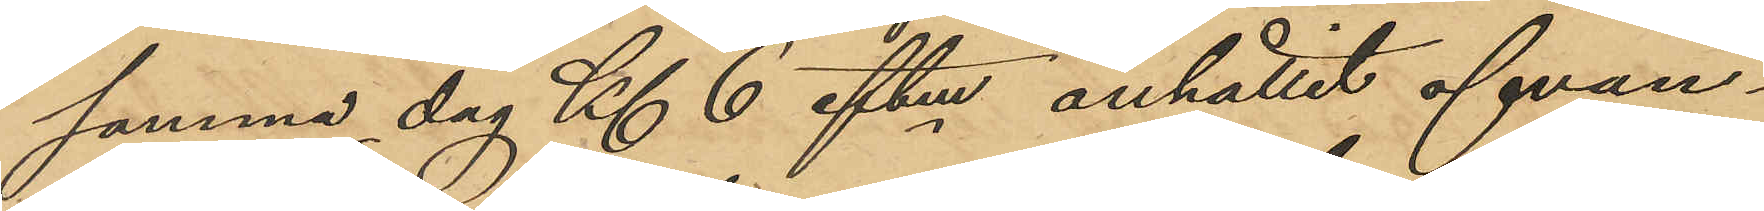samma dag Kl 6 eftm anhållit ofvan¬
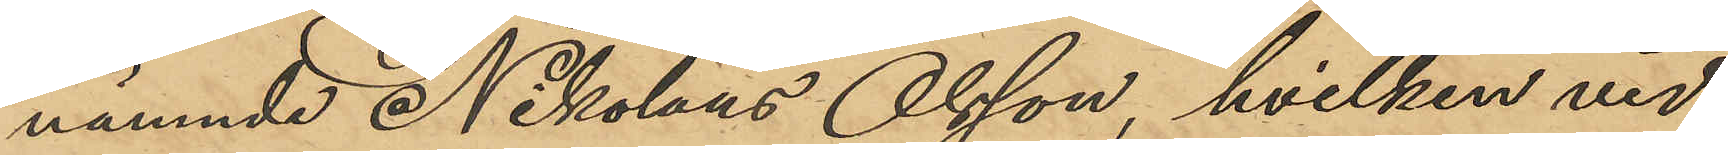nämnde Nikolaus Olsson, hvilken vid
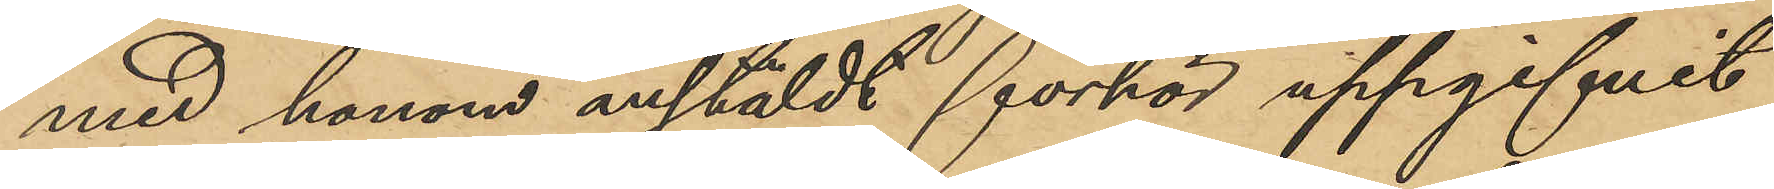med honom anstäldt förhör uppgifvit
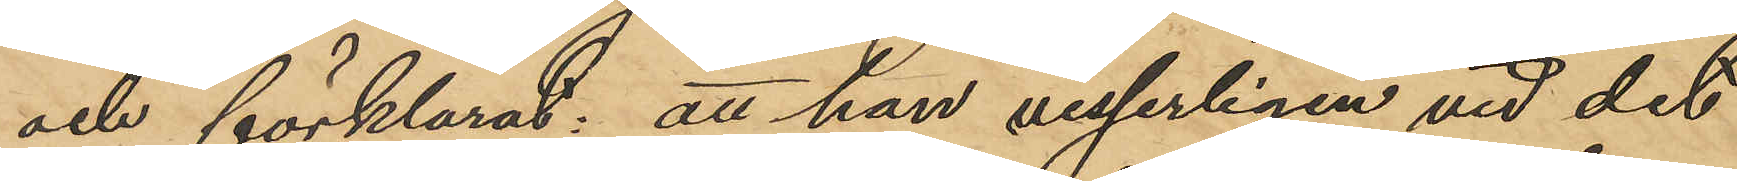och förklarat: att han visserligen vid det
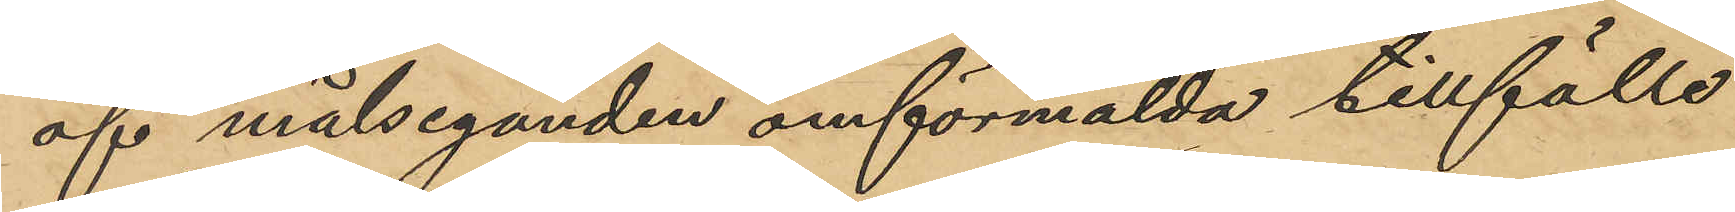af målseganden omförmälda tillfälle
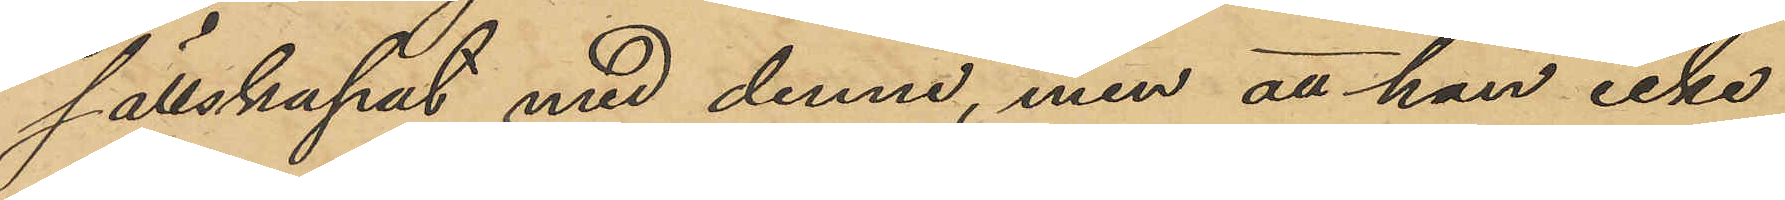sällskapat med denne, men att han icke
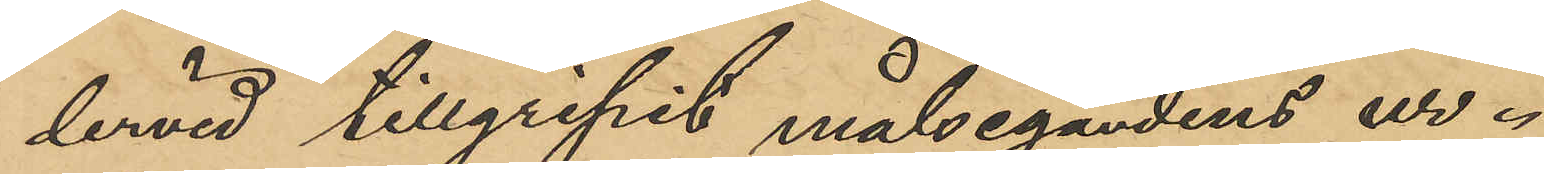dervid tillgripit målsegandens ur.
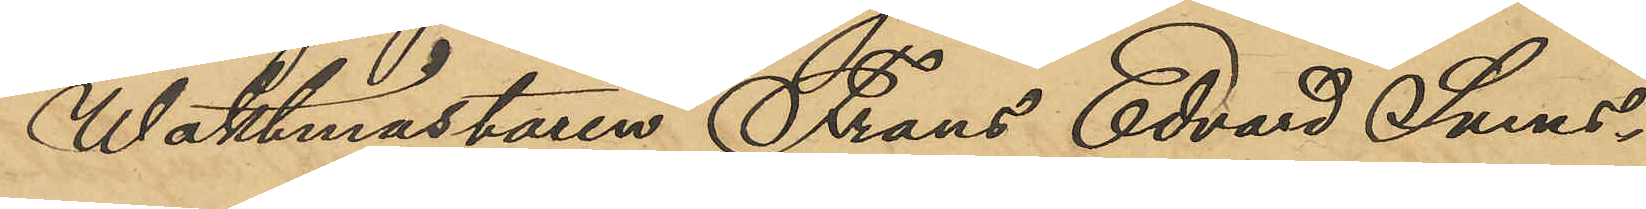Waktmästaren Frans Edvard Svens¬
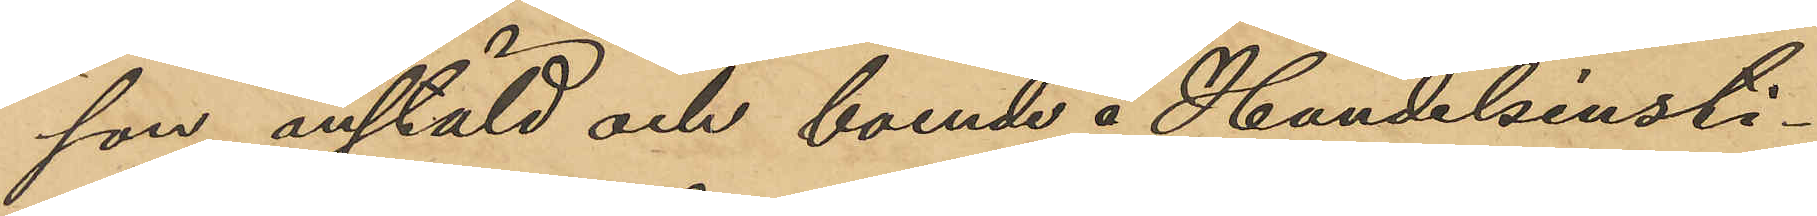son, anstäld och boende å Handelsinsti¬
